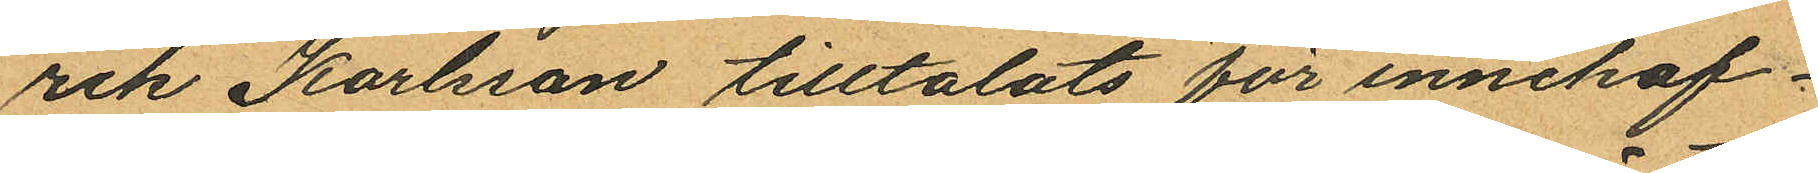rik Karlsson tilltalats för innehaf¬
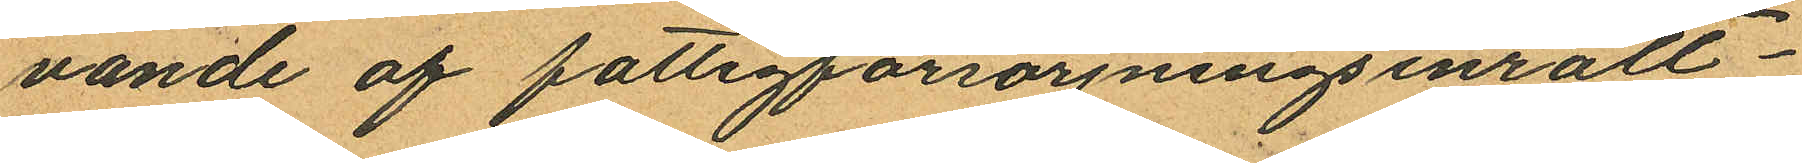vande af fattigförsörjningsinrätt¬
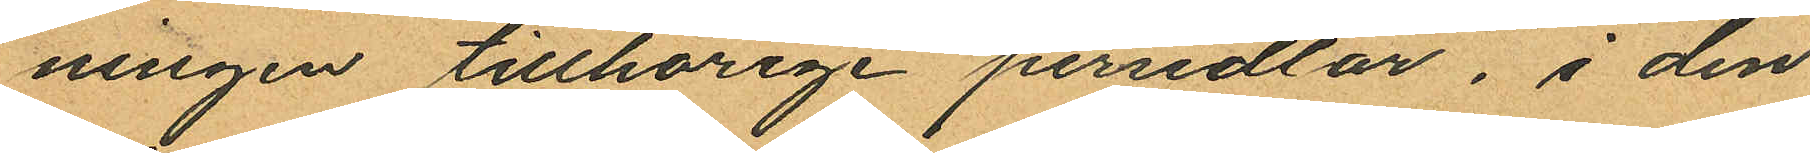ningen tillhörige persedlar, i den
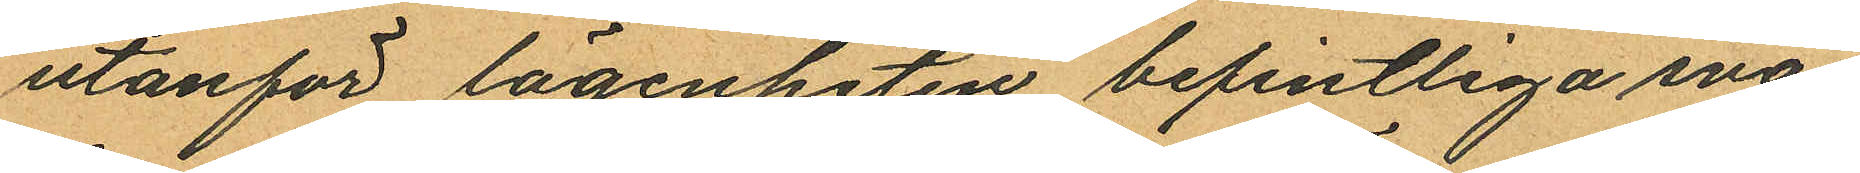utanför lägenheten befintliga sva¬
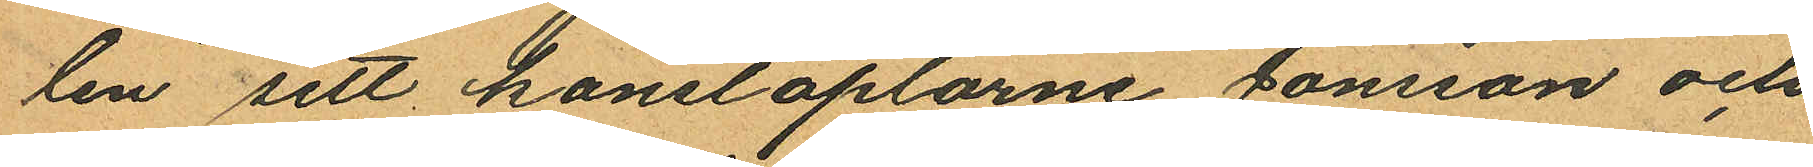len sett konstaplarne Jönsson och
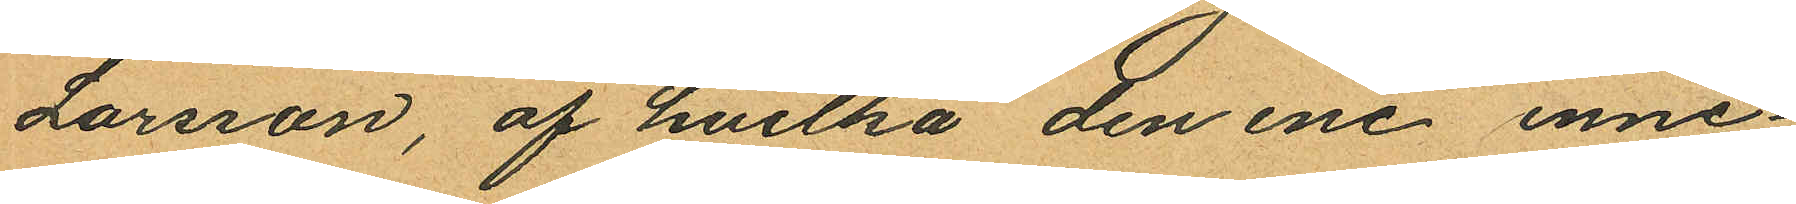Larsson, af hvilka den ene inne¬
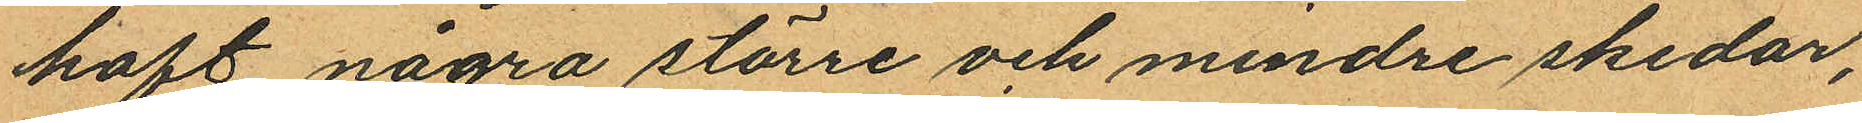haft några större och mindre skedar,
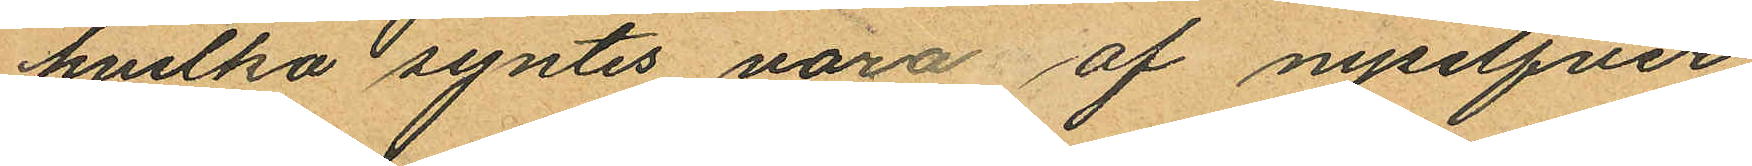hvilka syntes varo af nysilfver,
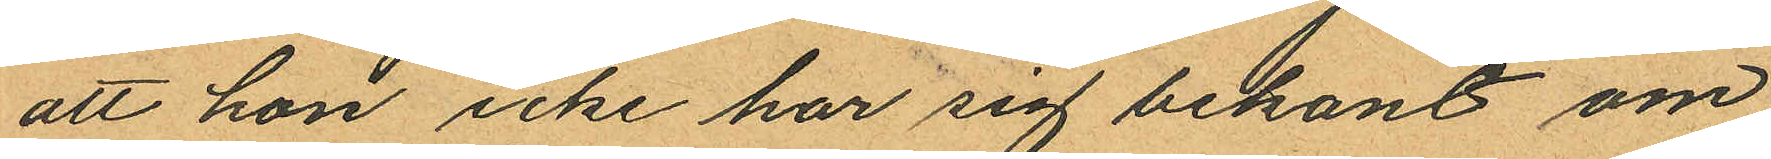att hon icke har sig bekant om
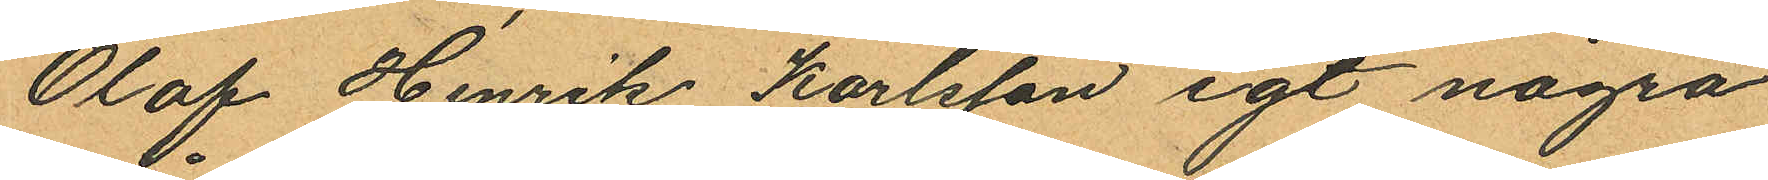Olof Henrik Karlsson egt några
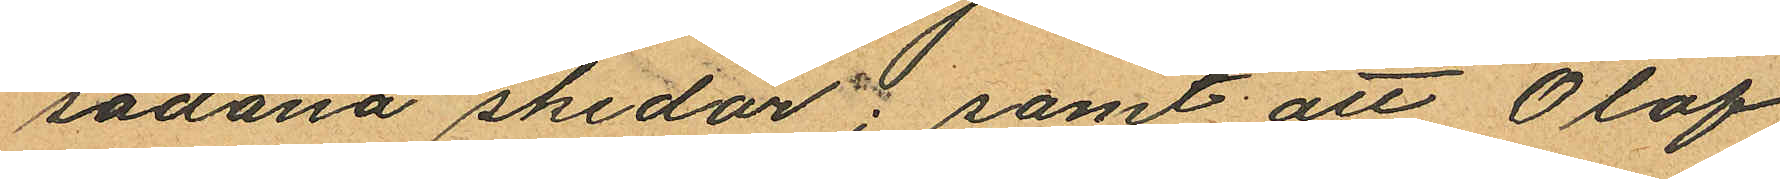sådana skedar; samt; att Olof
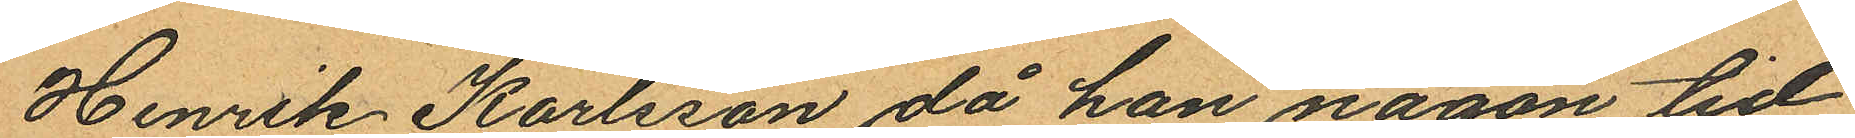Henrik Karlsson då han någon tid
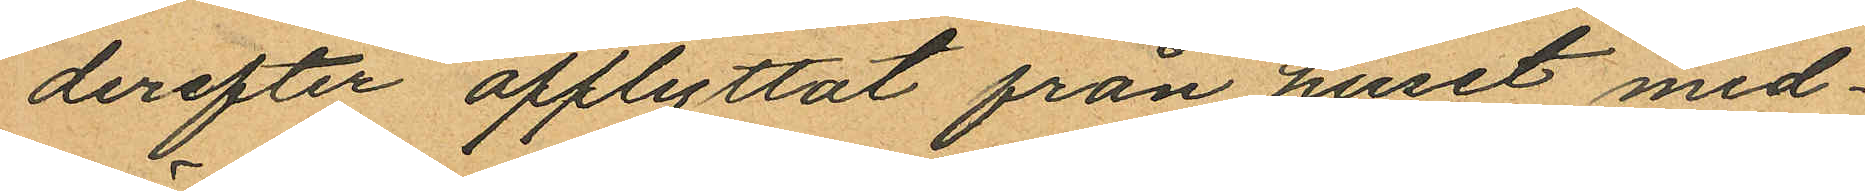derefter afflyttat från huset med¬
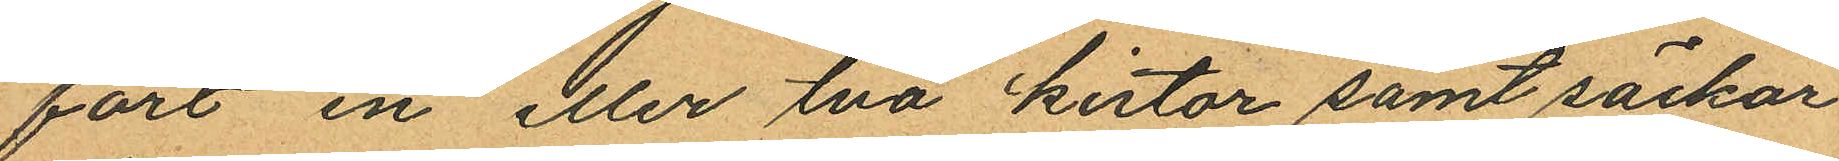fört en eller två kistor samt säckar
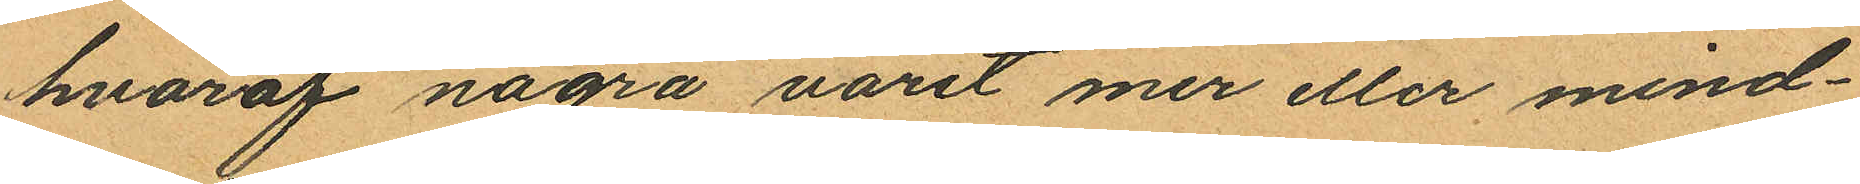hvaraf några varit mer eller mind¬
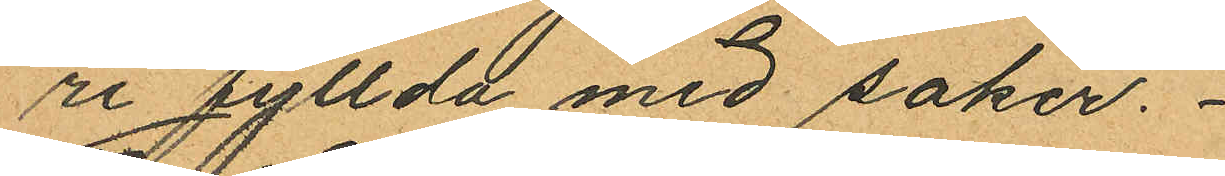re fyllda med saker.
